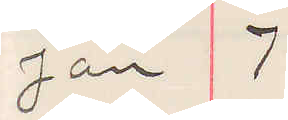Jan 7
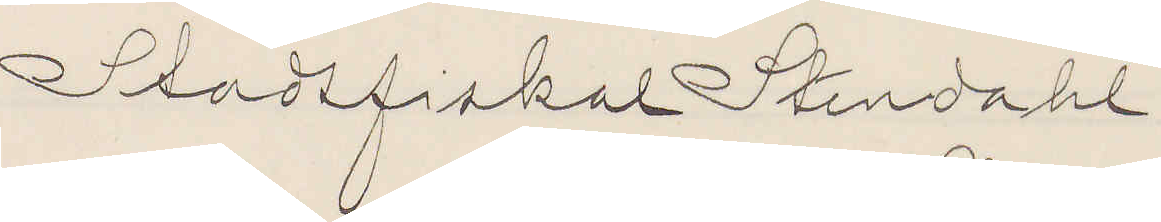Stadsfiskal Stendahl
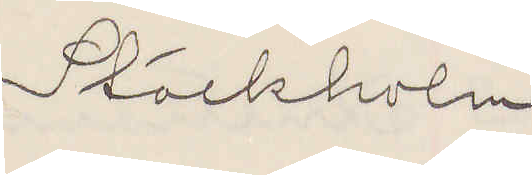Stockholm
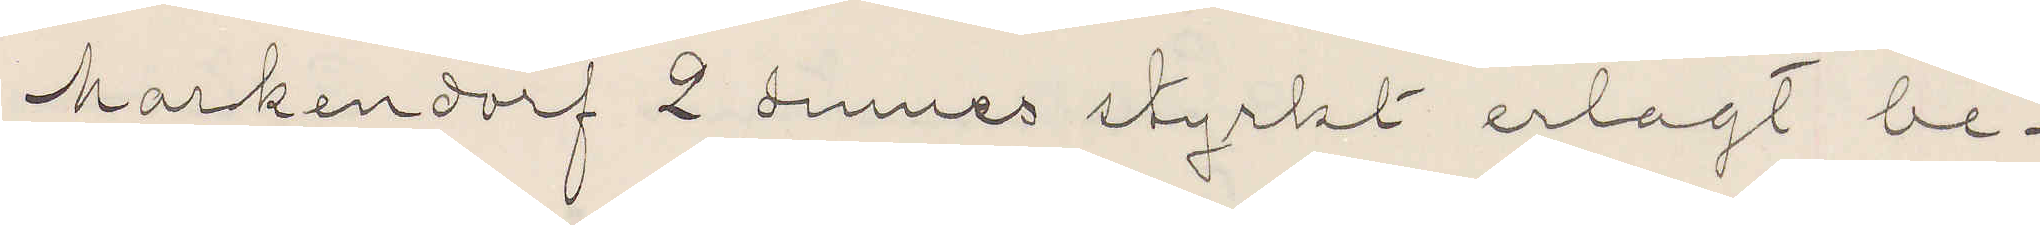Markendorf 2 dennes styrkt erlagt be¬
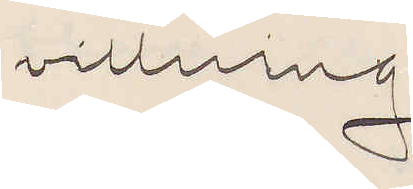villning
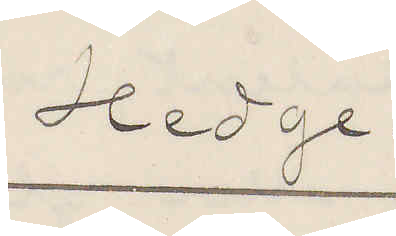Hedge.
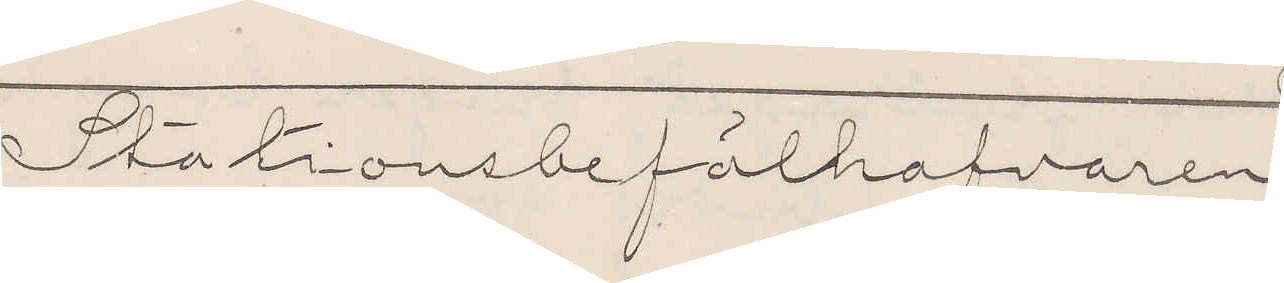Stationsbefälhafvaren
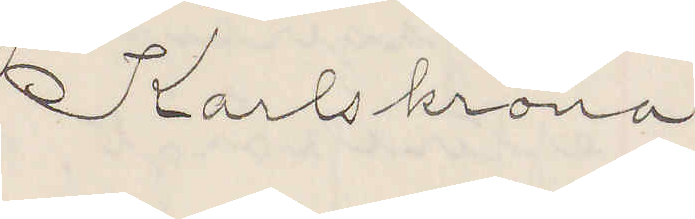Karlskrona
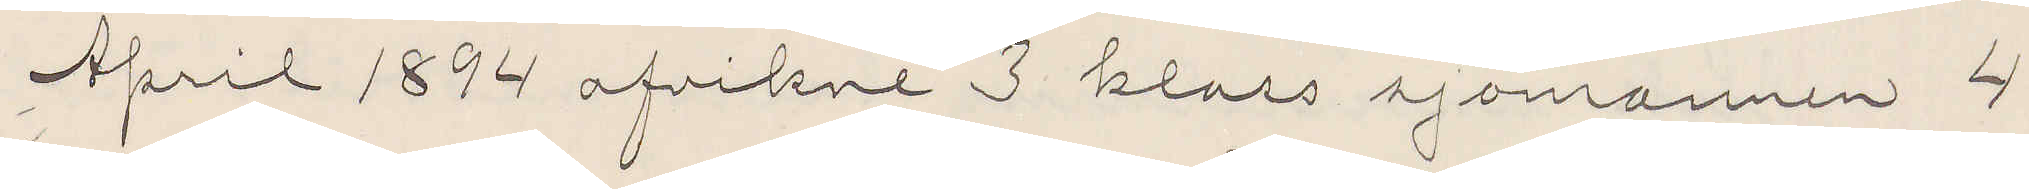April 1894 afvikne 3 klass sjomannen 4
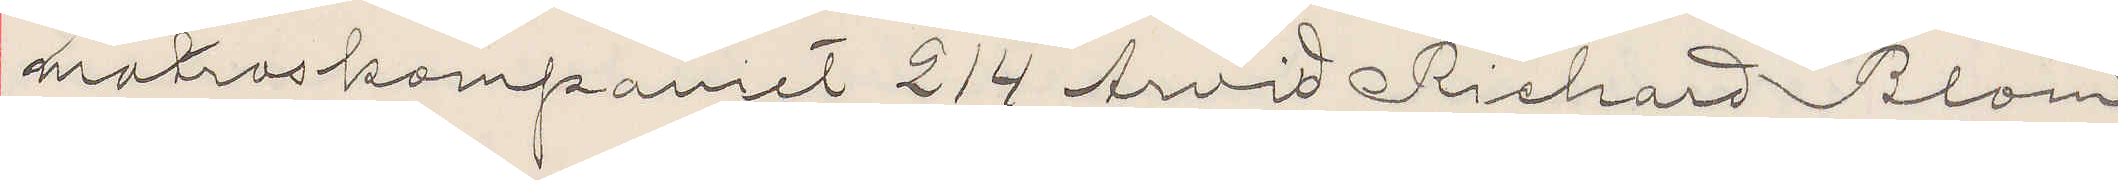matroskompaniet 214 Arvid Richard Blom
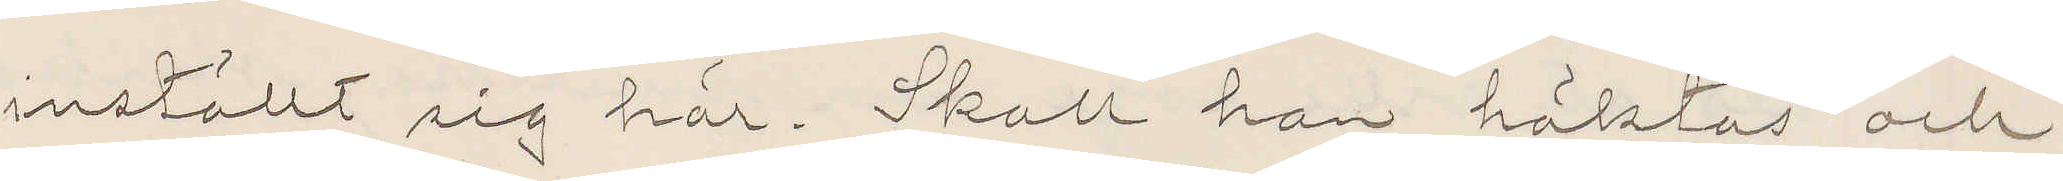inställt sig här. Skall han häktas och
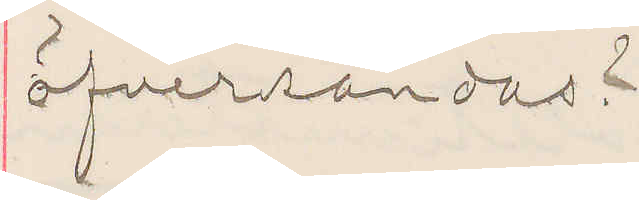öfversändas?
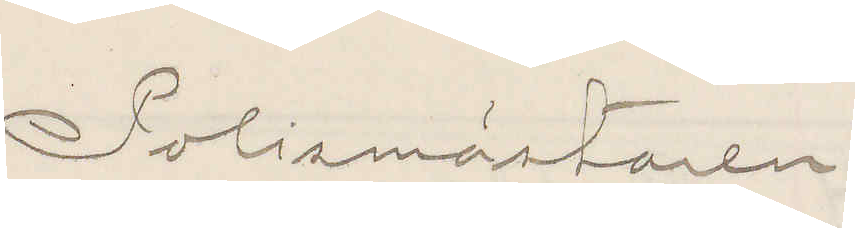Polismästaren
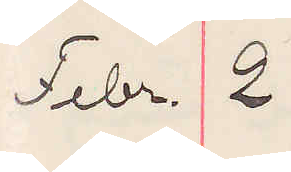Febr. 2
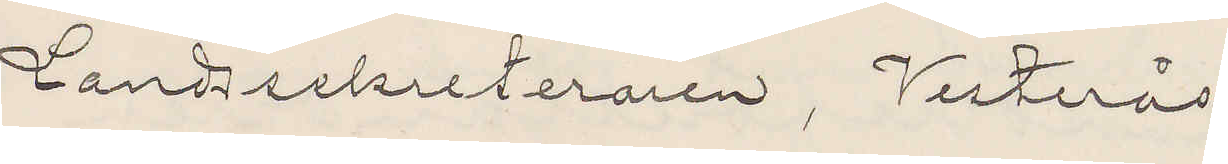Landssekreteraren, Vesterås.
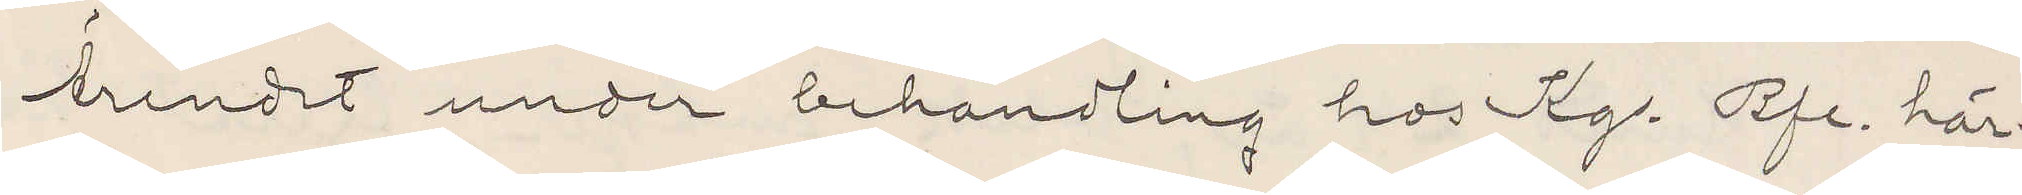Ärendet under behandling hos Kg. Bfe. här¬
